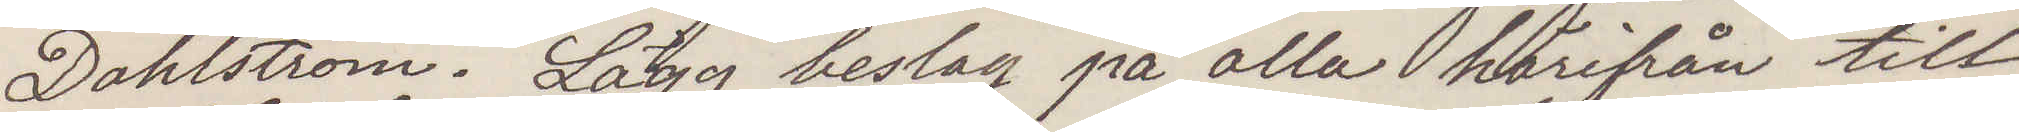Dahlström. Lägg beslag på alla härifrån till
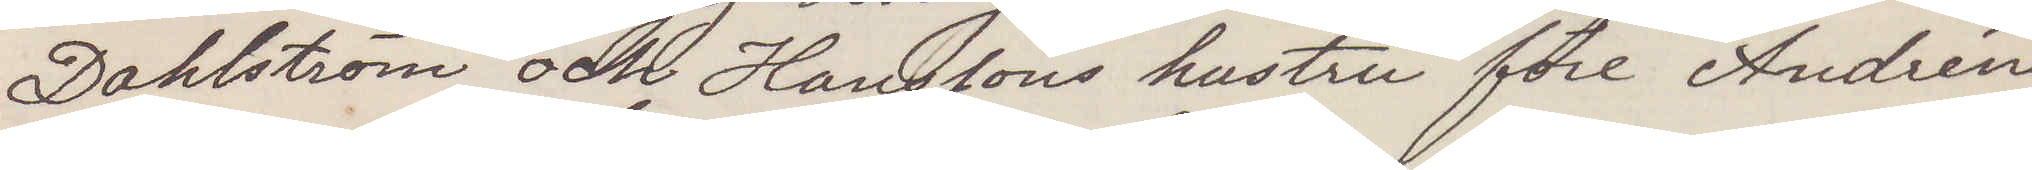Dahlström och Hanssons hustru för Andréns
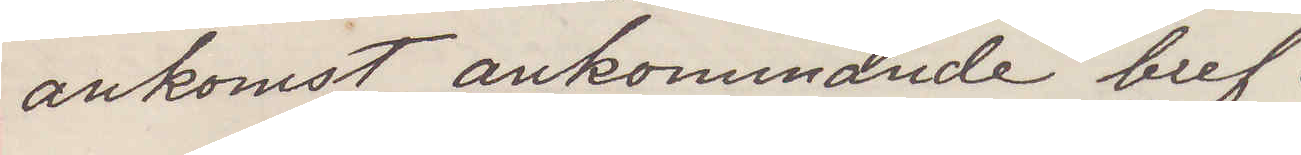ankomst ankommande bref.
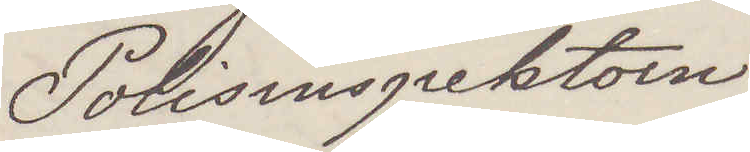Polisinspektorn
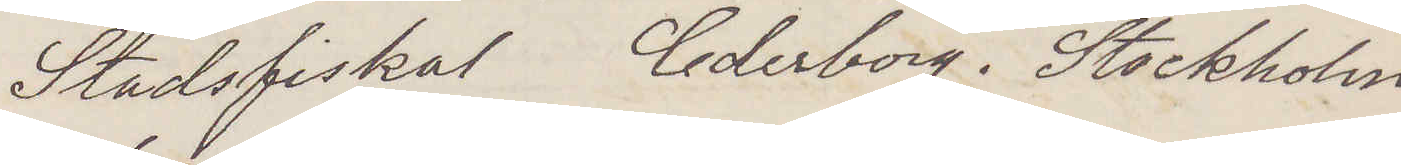Stadsfiskal Cederborg. Stockholm.
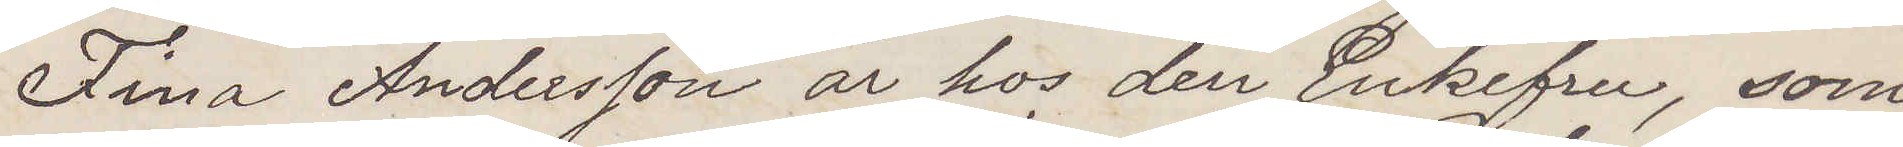Fina Andersson är hos den Enkefru, som
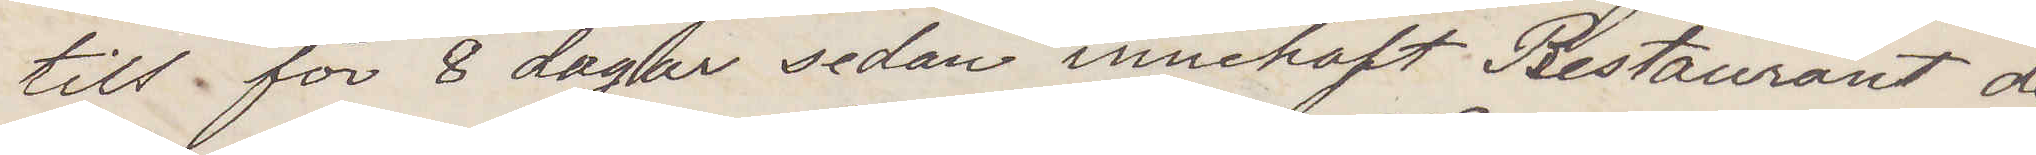till för 8 dagar sedan innehaft Restaurant de
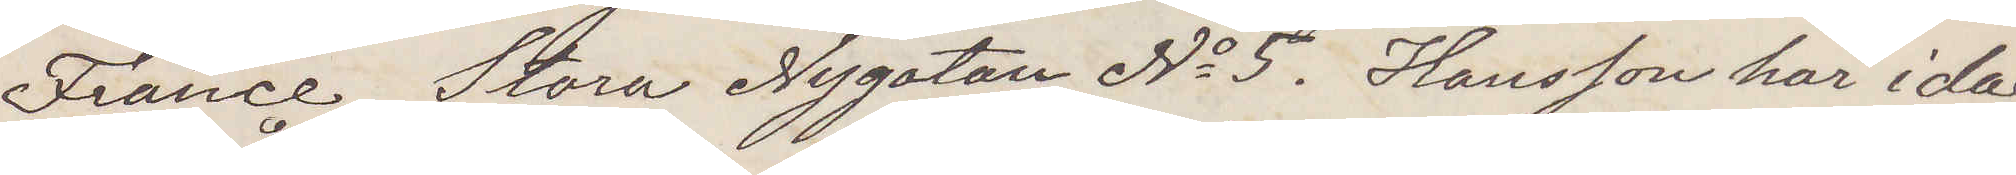France Stora Nygatan No 5. Hansson har idag
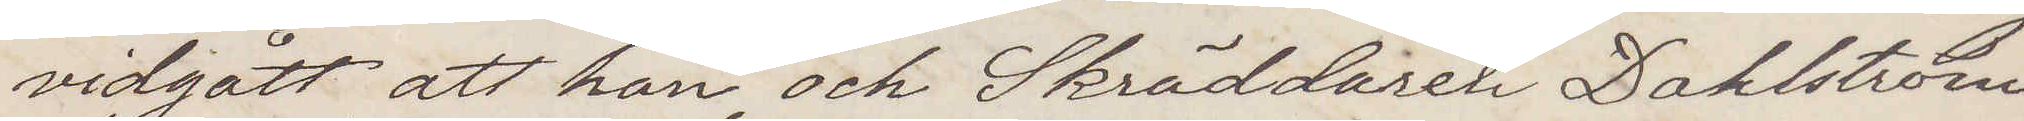vidgått att han, och Skräddaren Dahlström
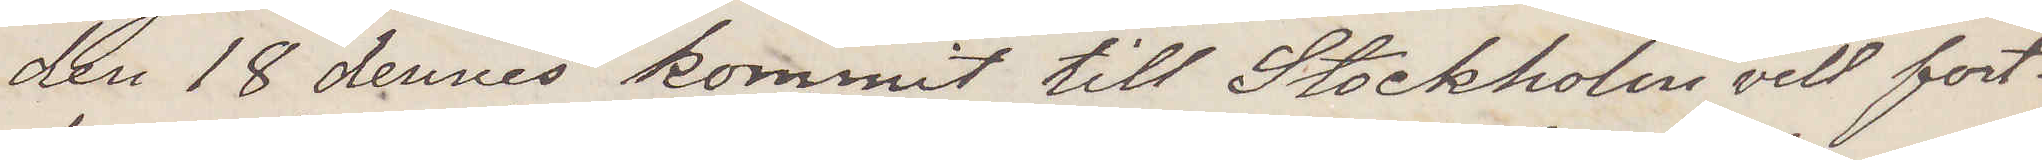den 18 dennes kommit till Stockholm vill fort¬
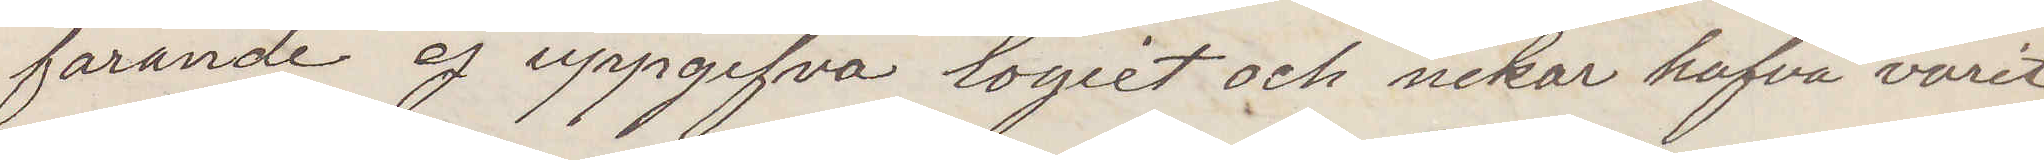farande ej uppgifva logiet och nekar hafva varit
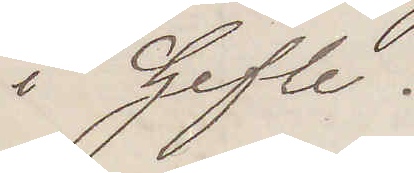i Gefle.
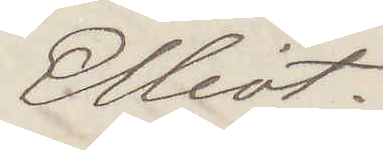Elliot.
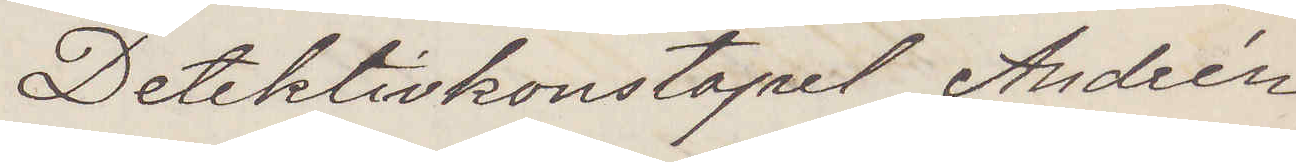Detektivkonstapel Andrén
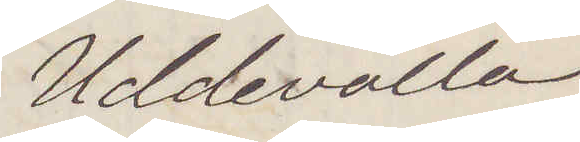Uddevalla
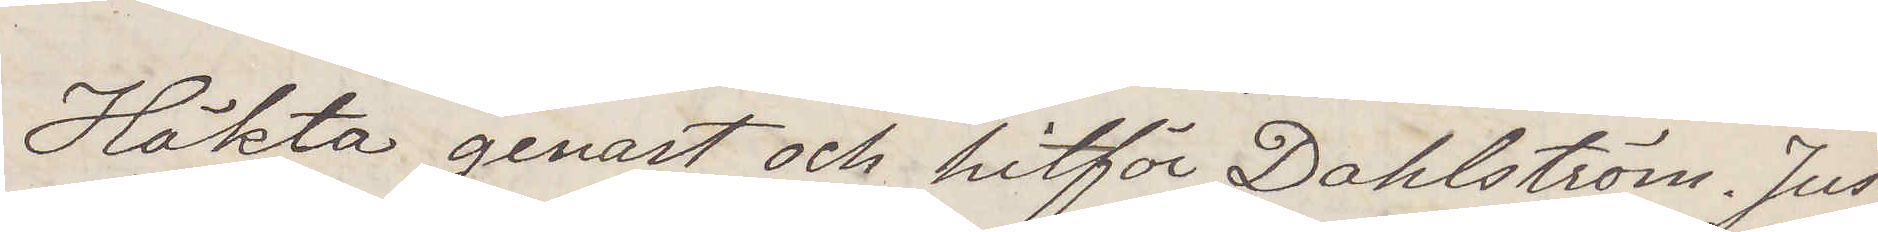Häkta genast och hitför Dahlström. Just
